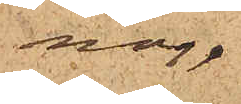nor.
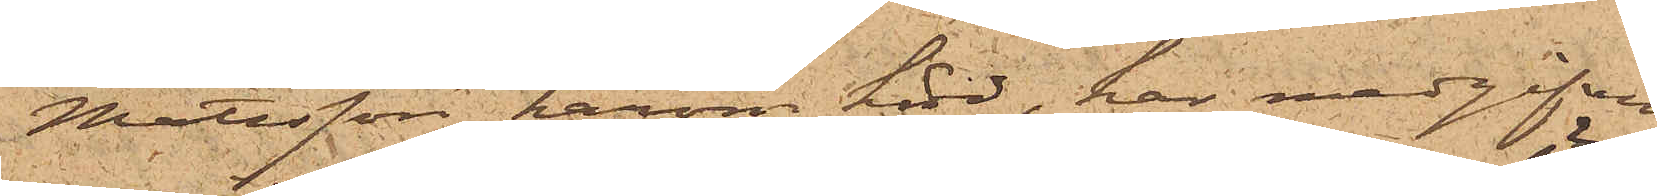Mattsson härom hörd, har medgifvit
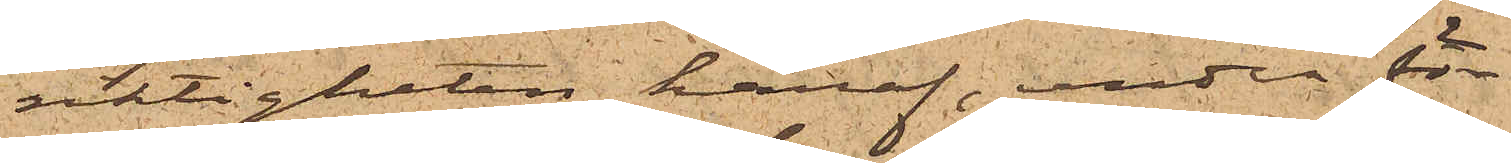riktigheten häraf, under för¬
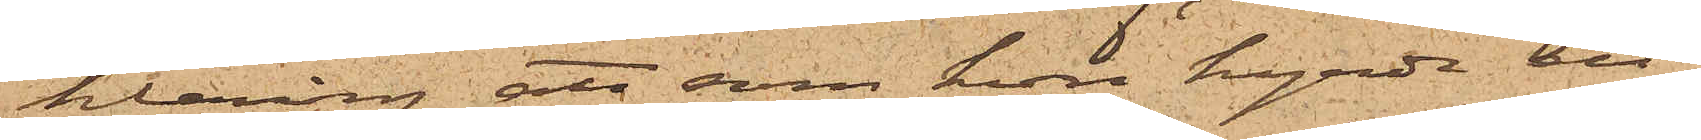klaring att som hon hyrde ett
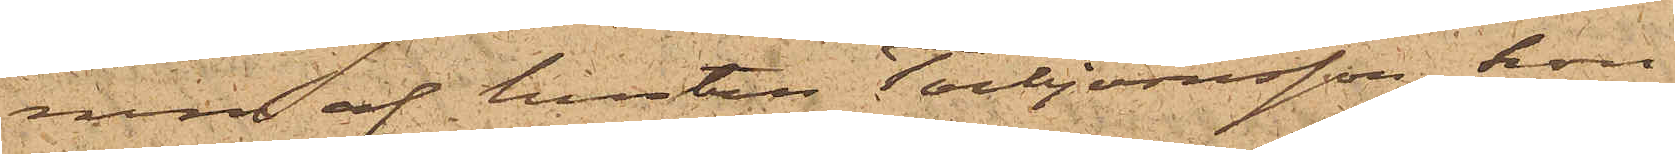rum af hustru Torbjörnsson, hon
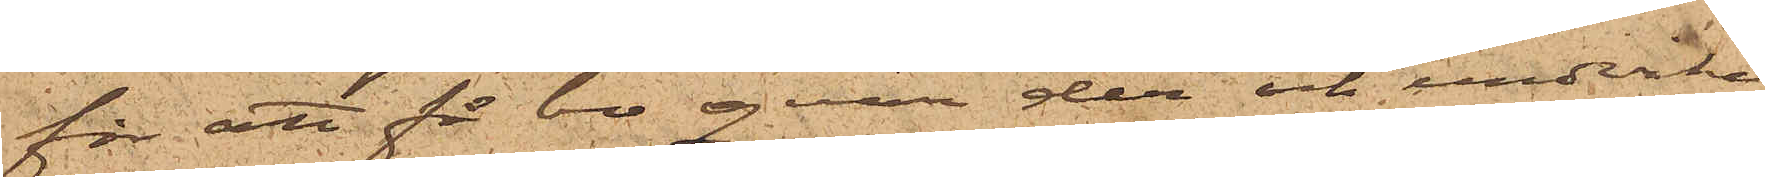för att få bo qvar der och undvika
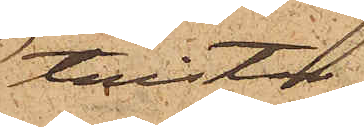tvister
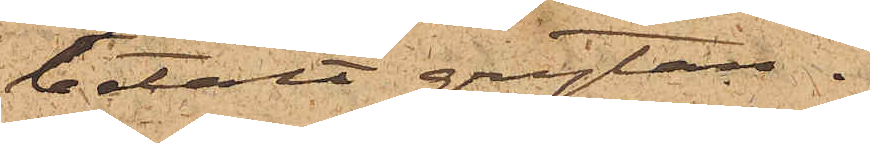betalt grytan.
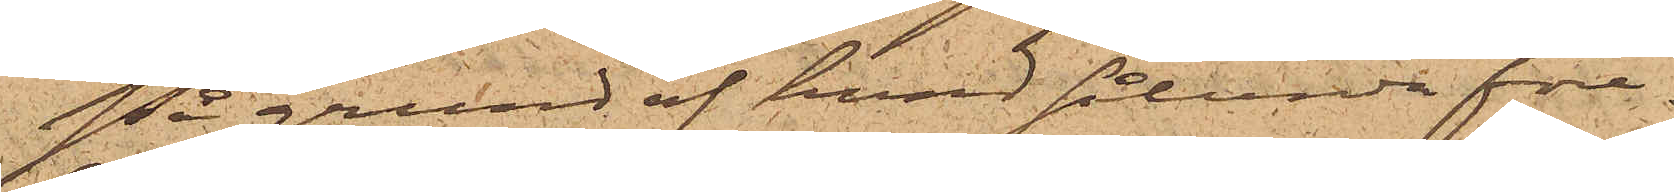På grund af hvad sålunda före¬
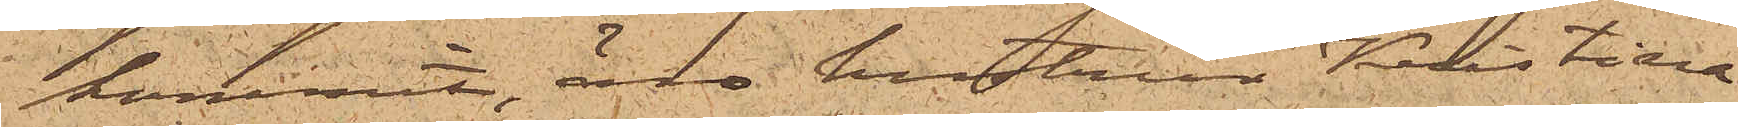kommit, är hustrun Kristina
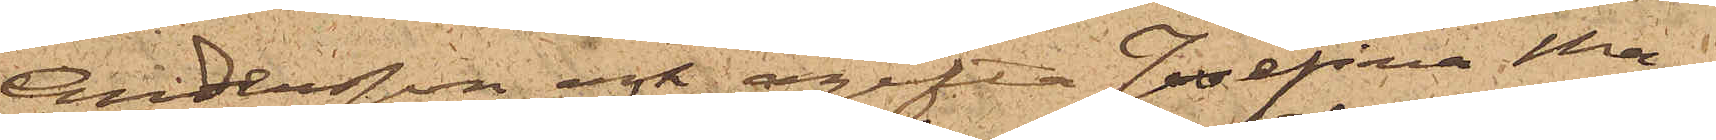Andersson och ogifta Josefina Ma¬
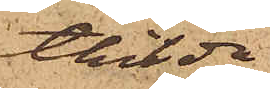thilda
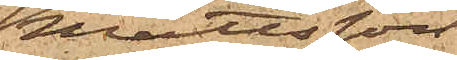Mattsson
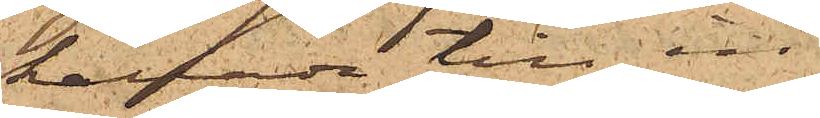kallade till in¬
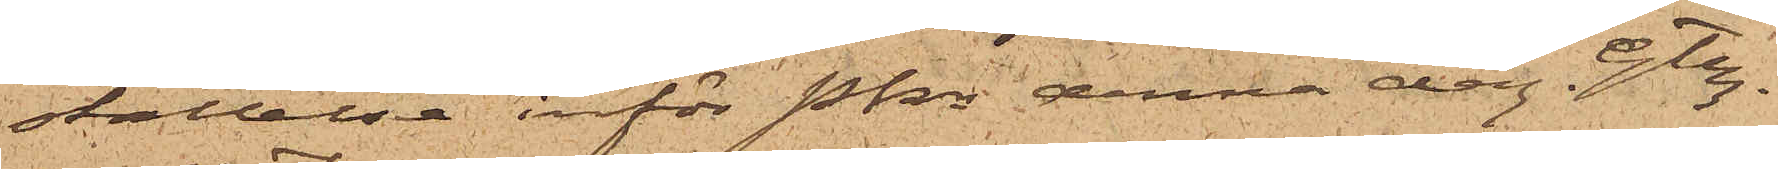ställelse inför Pkn denna dag. Gtbg
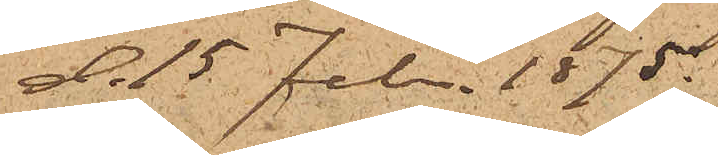d, 15 Febr. 1875.
